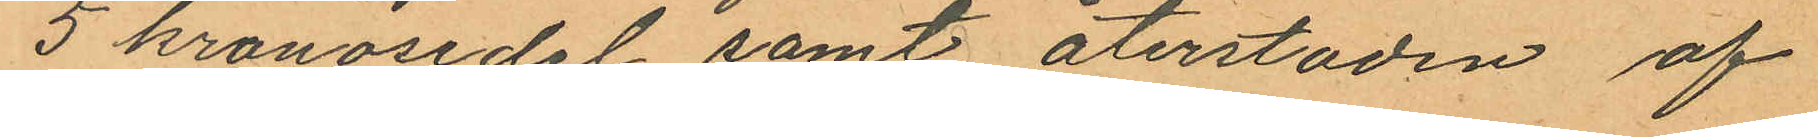5 kronosedel samt återstoden af
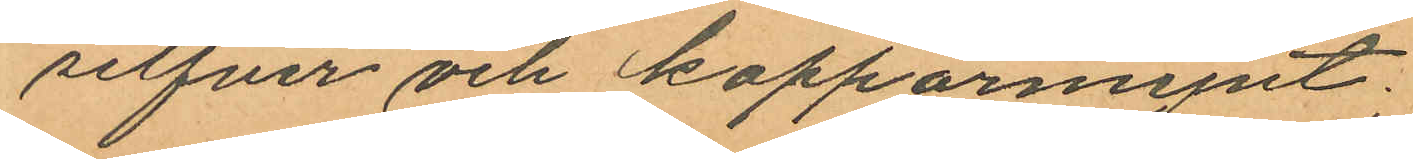silfver och kopparmynt;
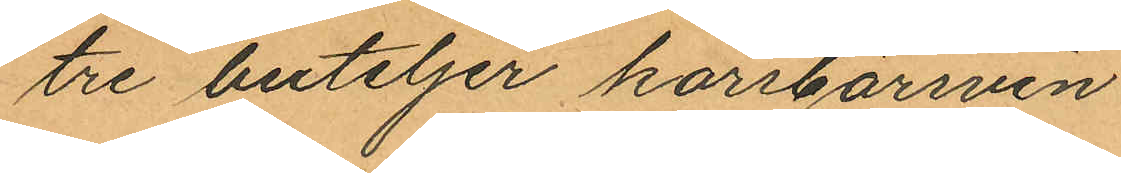tre buteljer körsbärsvin
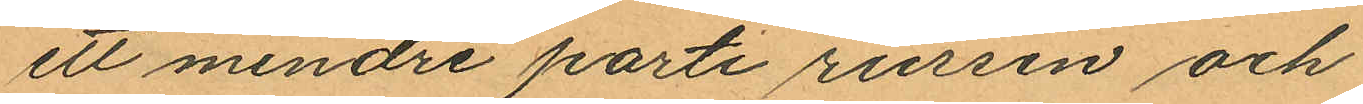ett mindre parti russin och
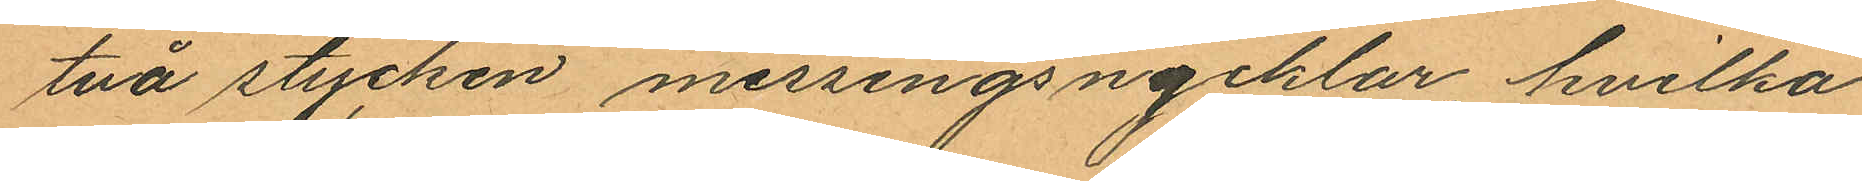två stycken messingsnycklar, hvilka
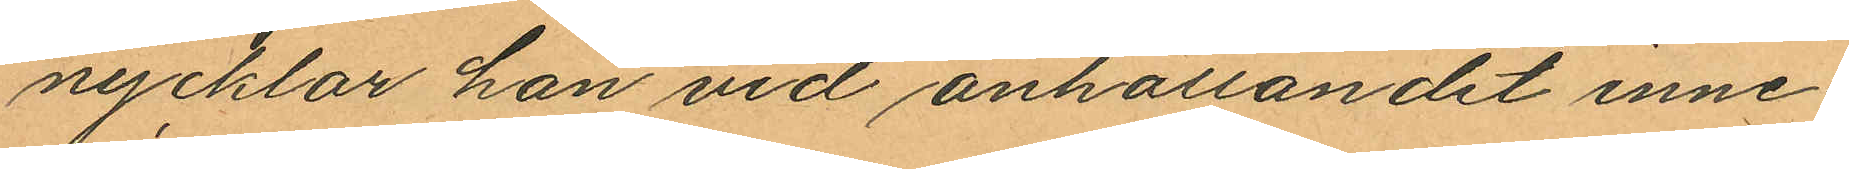nycklar han vid anhållandet inne¬
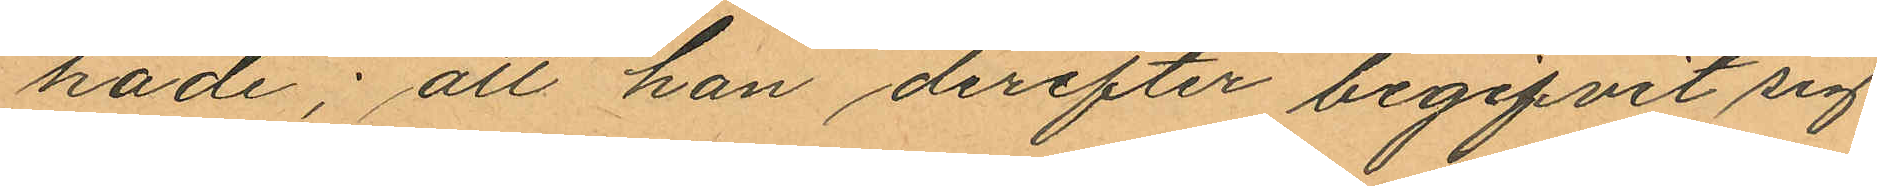hade; att han derefter begifvit sig
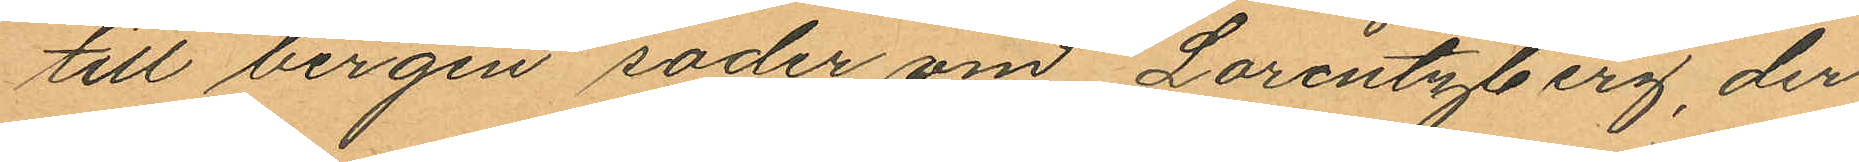till bergen soder om Lorentzberg, der
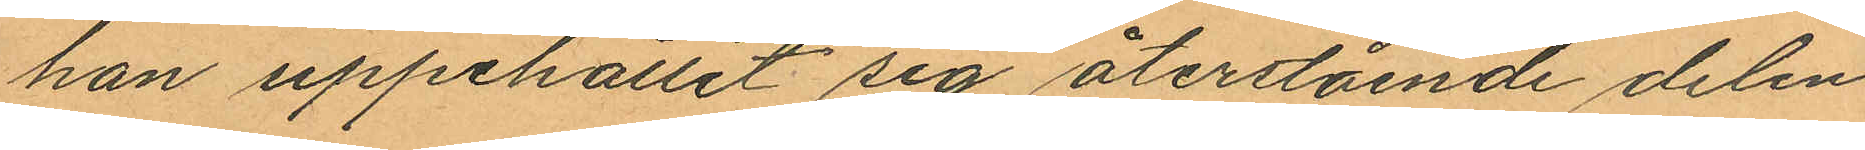han uppehållit sig återstående delen
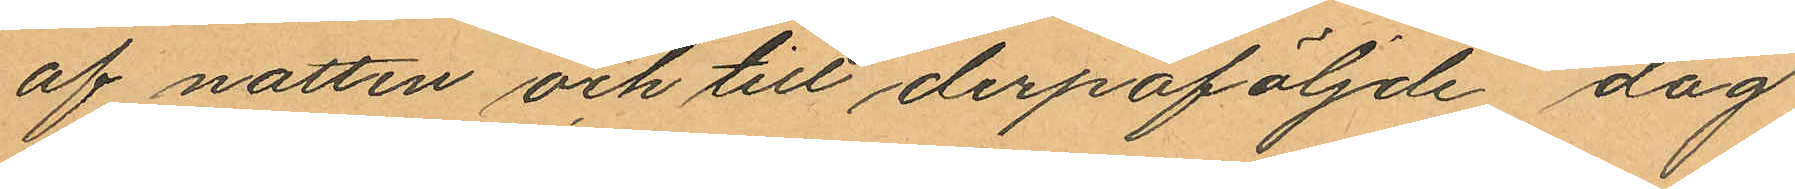af natten och till derpåföljnde dag
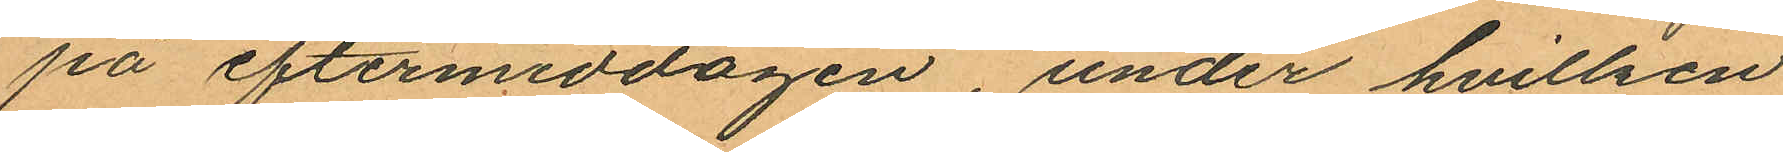på eftermiddagen, under hvilken
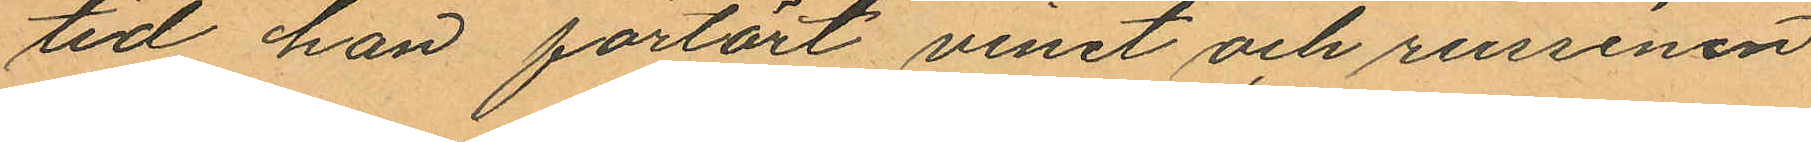tid han förtärt vinet och russinen
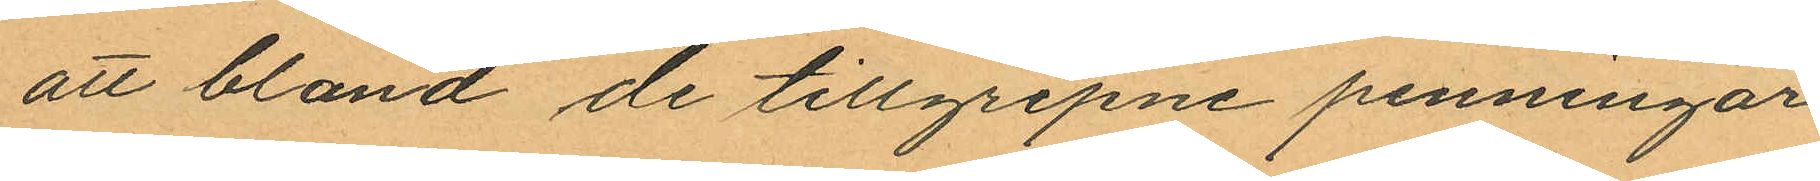att bland de tillgripne penningar¬
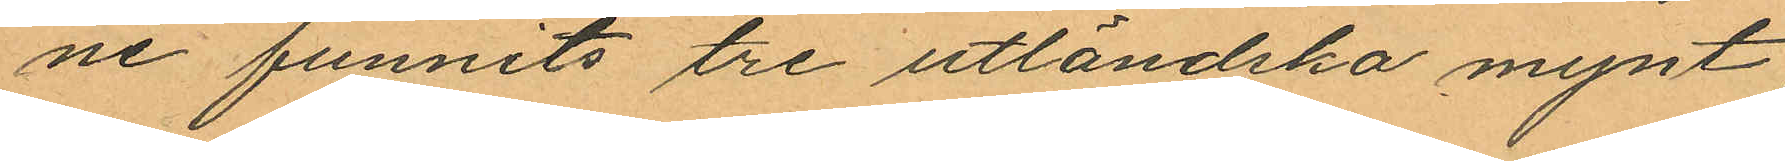ne funnits tre utländska mynt,
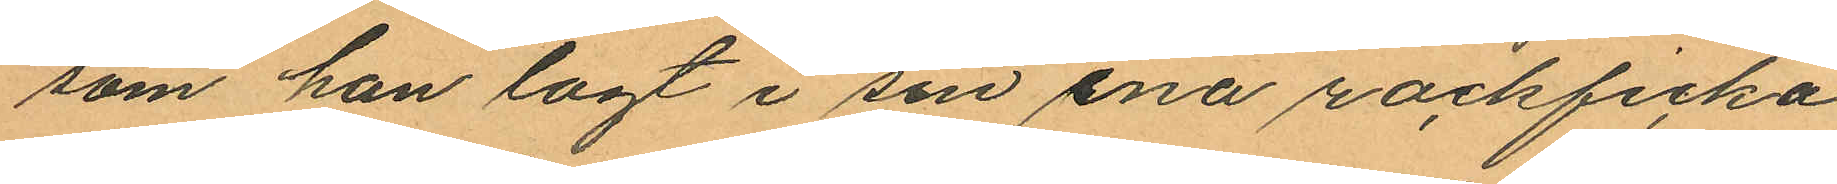som han lagt i sin ena rockficka
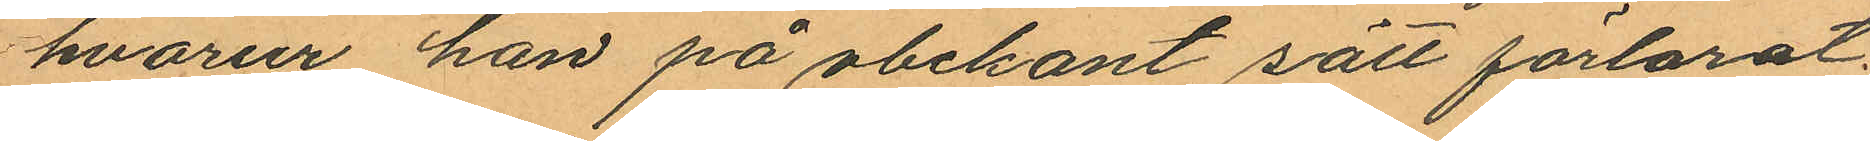hvarur han på obekant sätt förlorat
